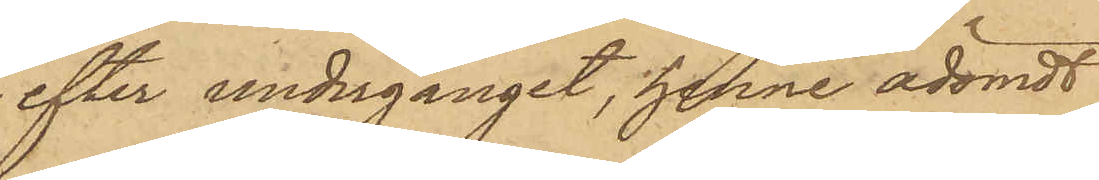efter undergånget, henne ådömdt
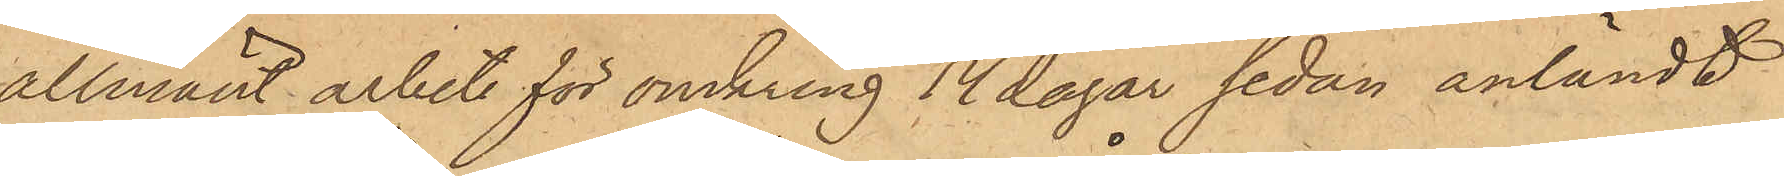allmänt arbete för omkring 14 dagar sedan anländt
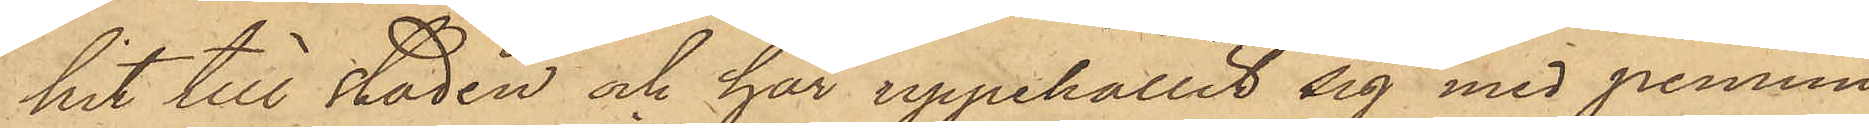hit till staden och har uppehållit sig med pennin¬
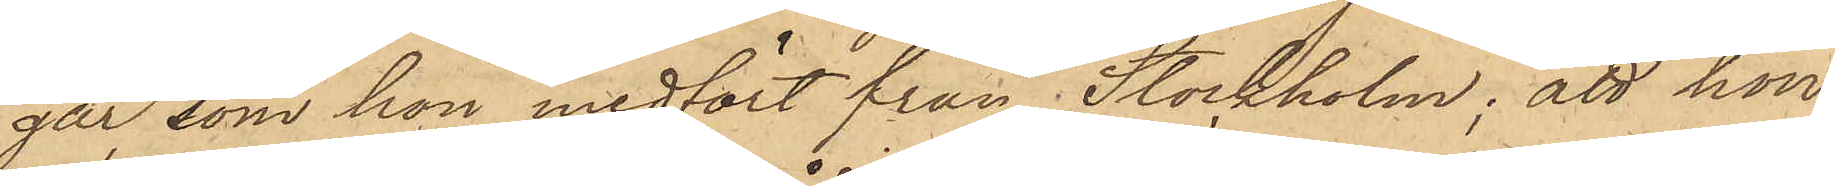gar, som hon medfört från Stockholm; att hon
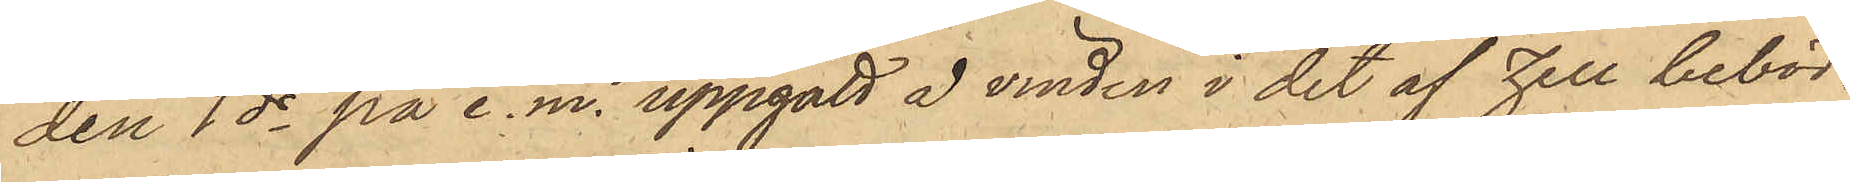den 1 ds på e. m. uppgått å vinden i det af Zell bebod¬
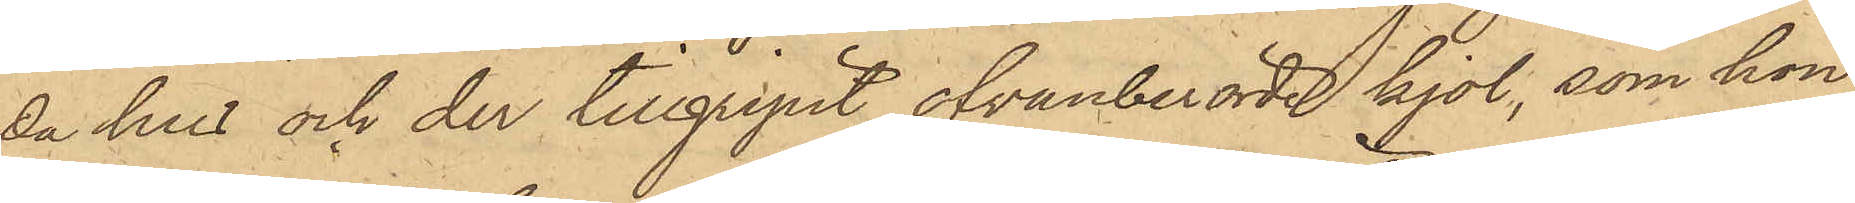da hus och der tillgripit ofvanberörde kjol, som hon
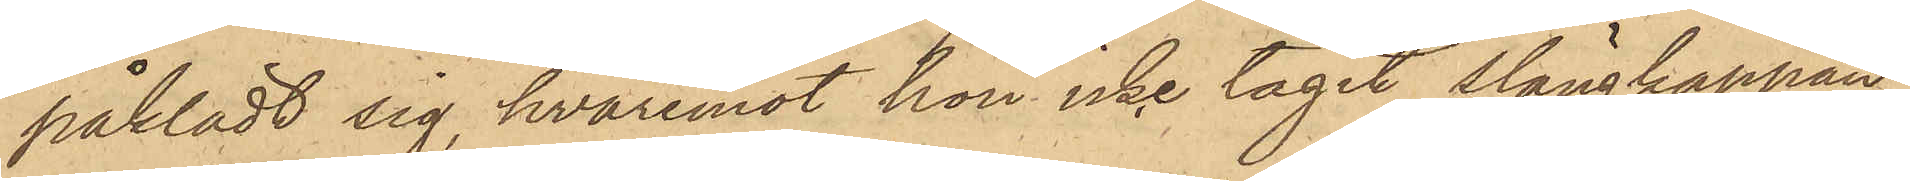påklädt sig, hvaremot hon icke tagit slängkappan,
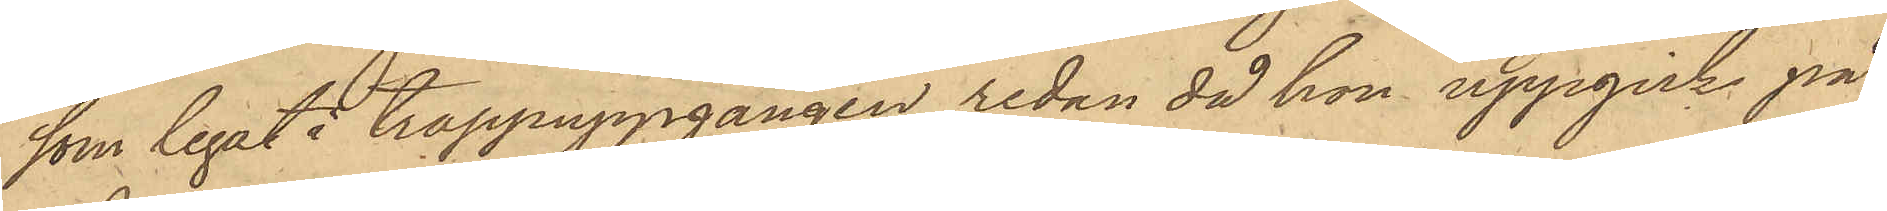som legat i trappuppgången redan då hon uppgick på
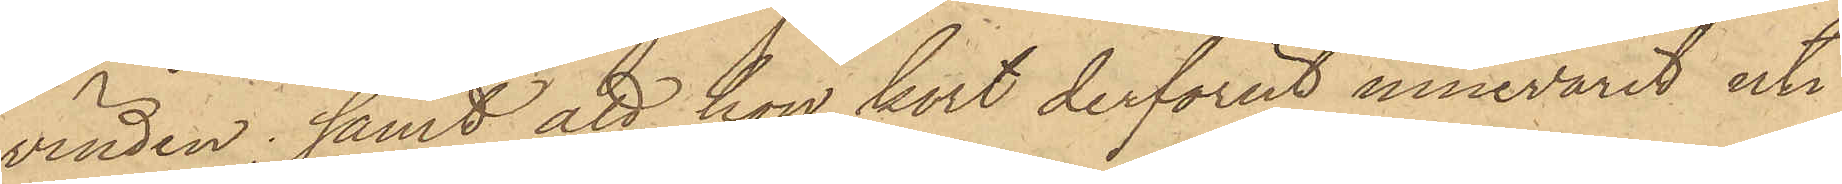vinden; samt att hon kort derförut innevarit uti
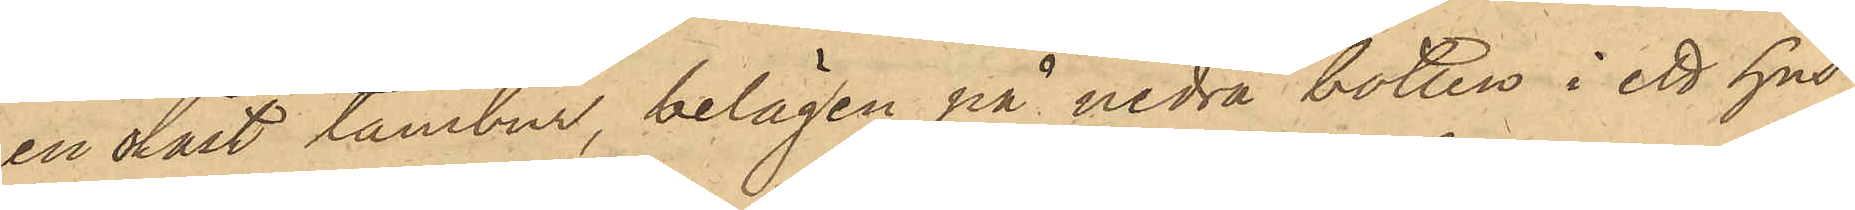en olåst tambur, belägen på nedra botten i ett hus
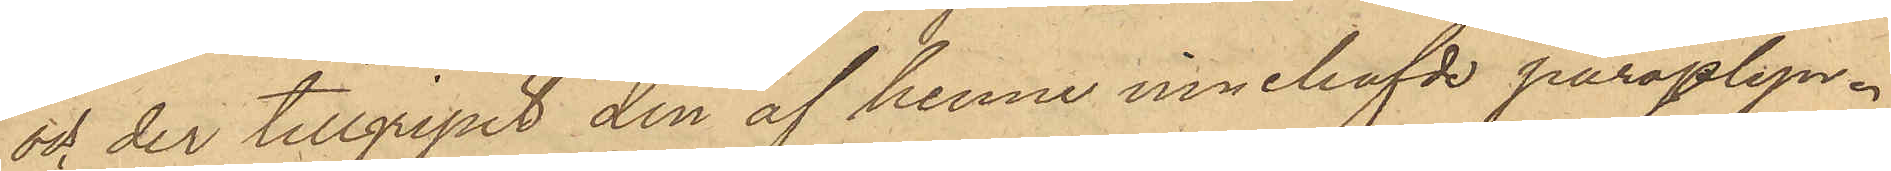och der tillgripit den af henne innehafvde paraplyn.
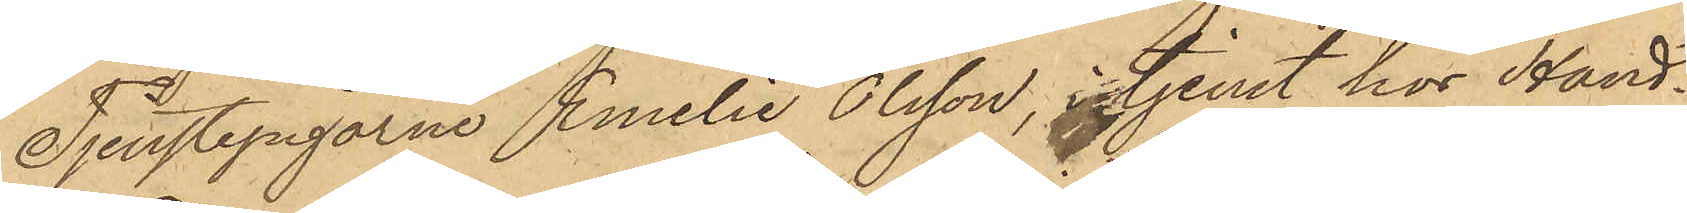Tjenstepigorne Emilie Olsson, i tjenst hos Hand¬
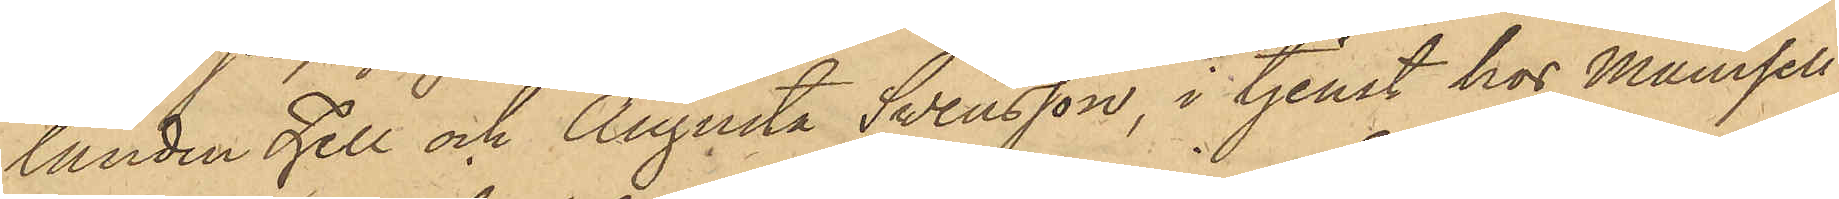landen Zell och Augusta Swensson, i tjenst hos Mamsell
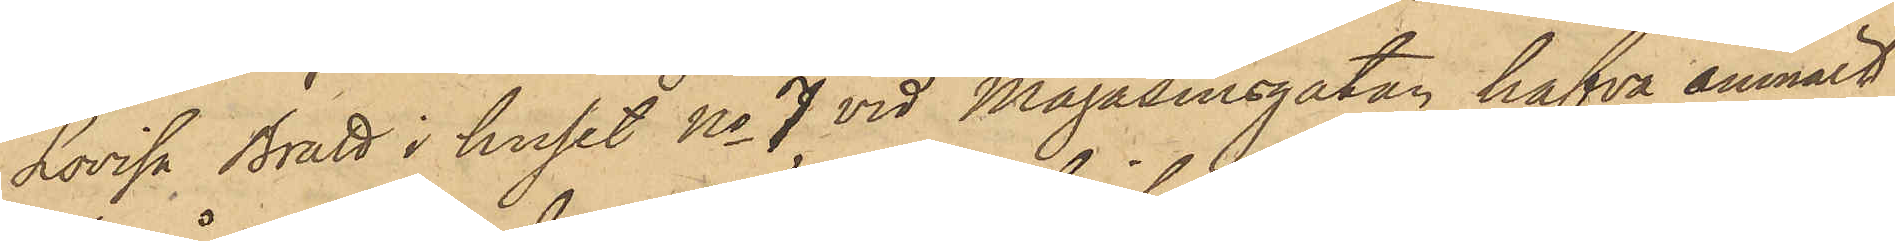Lovisa Bratt i huset No 7 vid Magasinsgatan hafva anmält
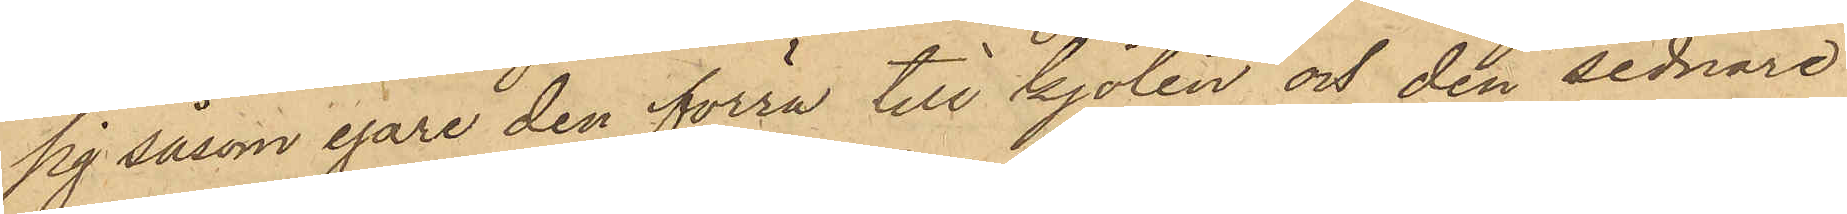sig såsom egare den förra till kjolen och den sednare
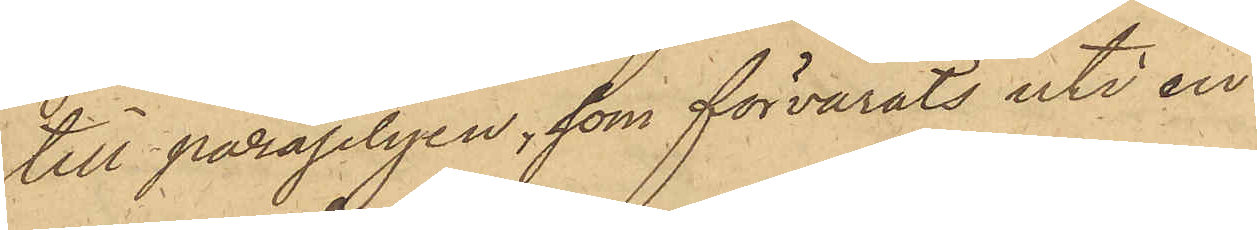till paraplyen, som förvarats uti en
